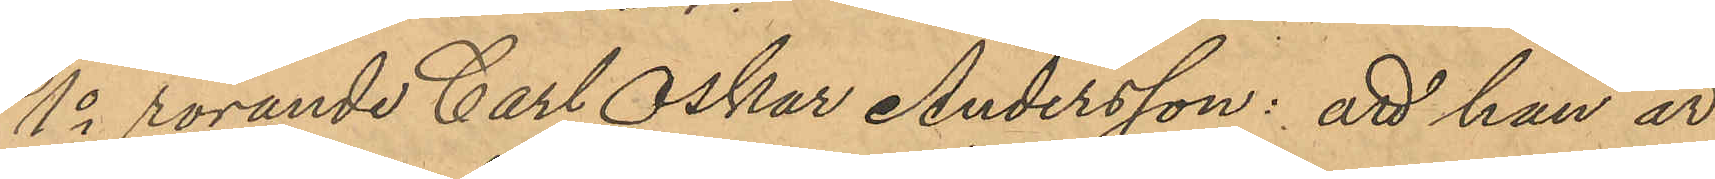1o rörande Carl Oskar Andersson: att han är
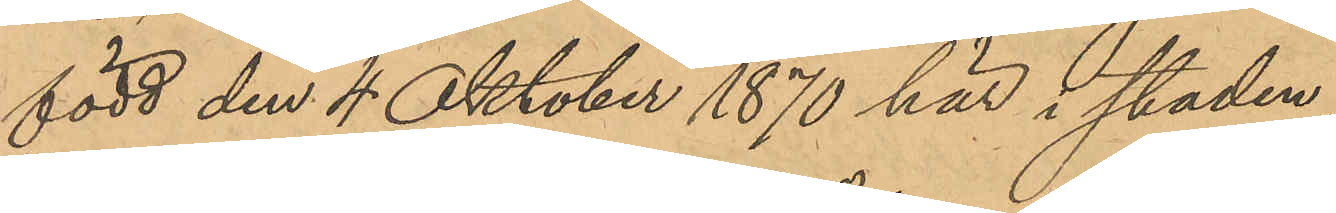född den 4 Oktober 1870 här i staden;
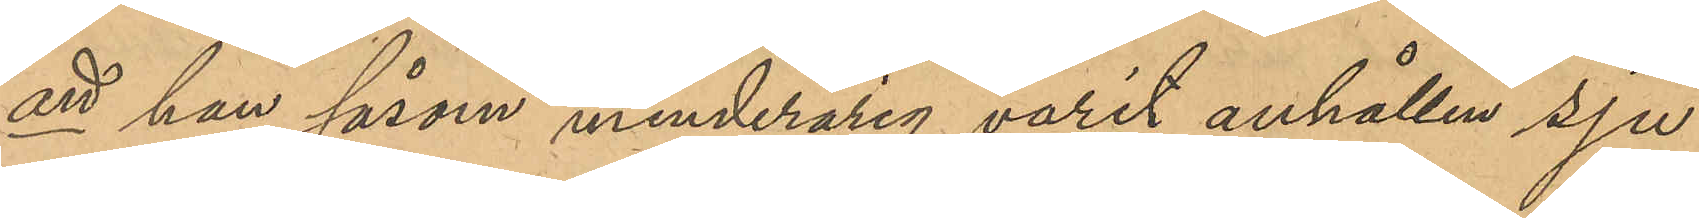att han såsom minderårig varit anhållen sju
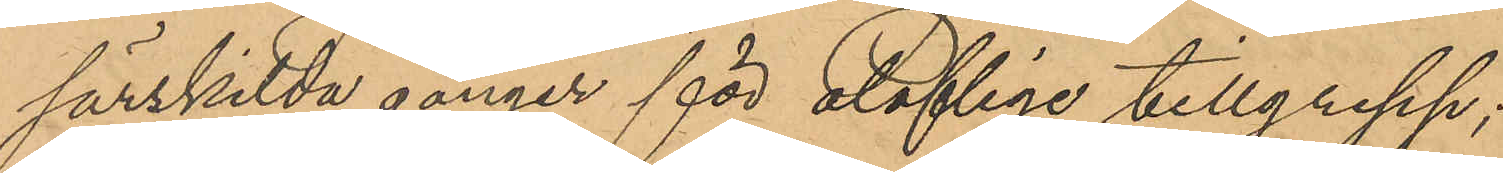särskilda gånger för olofliga tillgrepp;
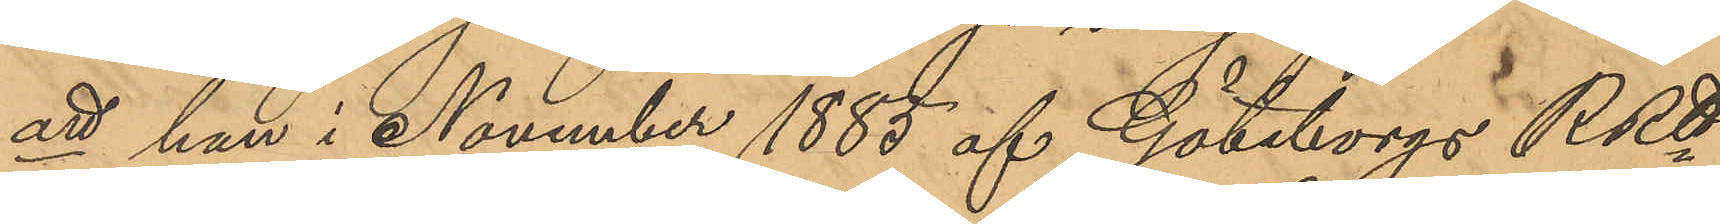att han i November 1885 af Göteborgs RRtt
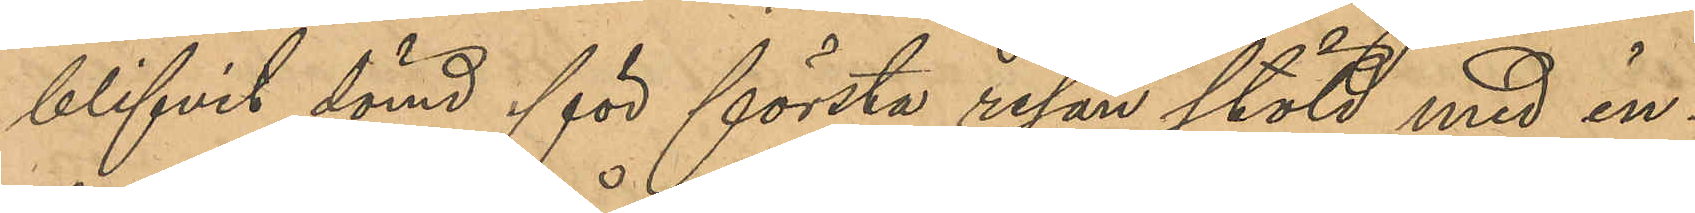blifvit dömd för första resan stöld med in¬
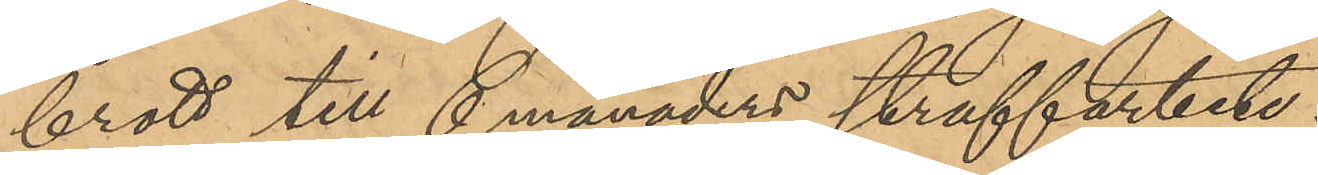brott till 6 månaders straffarbete;
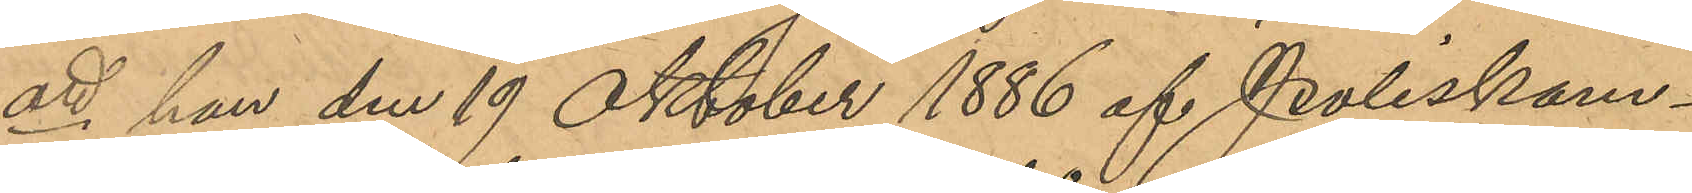att han den 19 Oktober 1886 af Poliskam¬
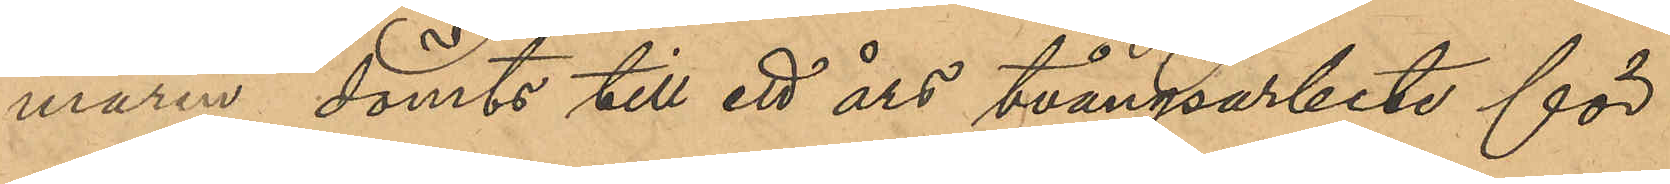maren dömts till ett års tvångsarbete för
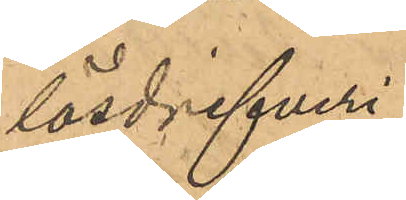lösdrifveri;
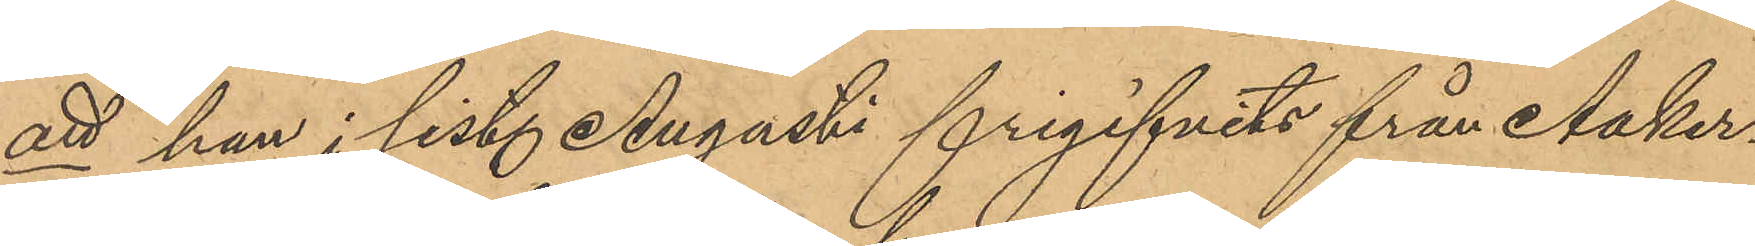att han i sist. Augusti frigifvits från Aaker¬
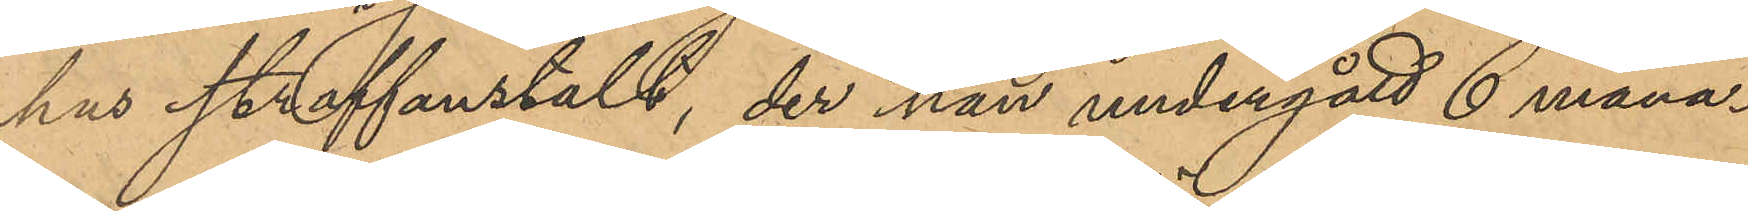hus straffanstalt, der han undergått 6 måna¬
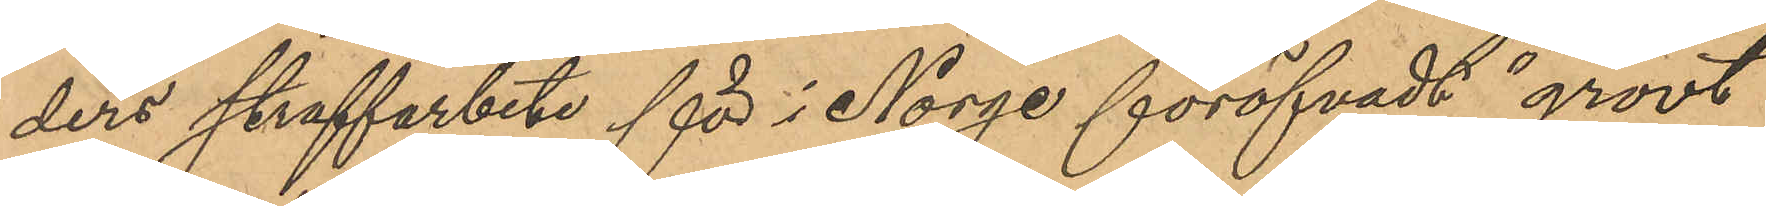ders straffarbete för i Norge föröfvadt "grovt
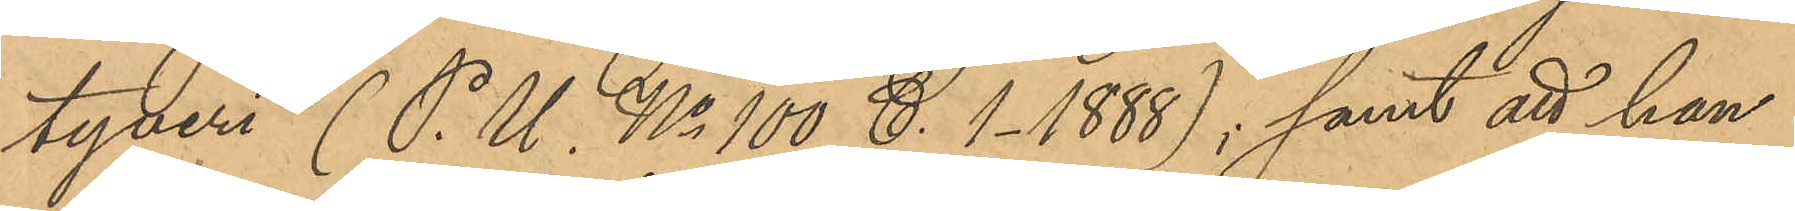tyveri" (P. U. No 100 C. 1-1888); samt att han
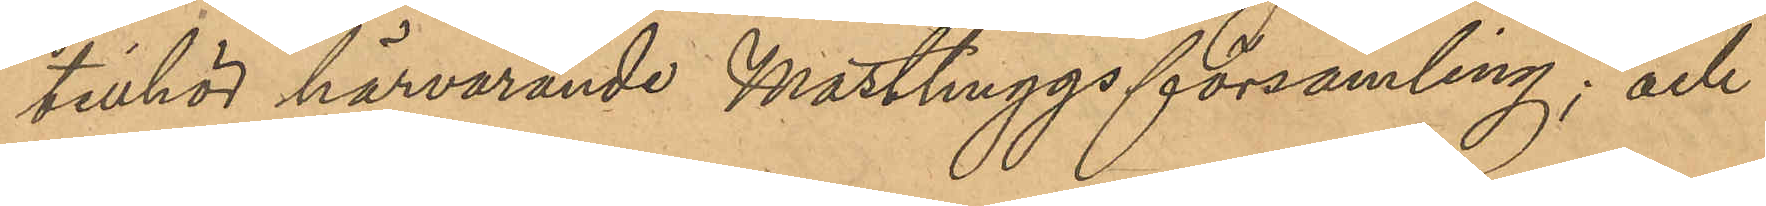tillhör härvarande Masthuggs församling; och
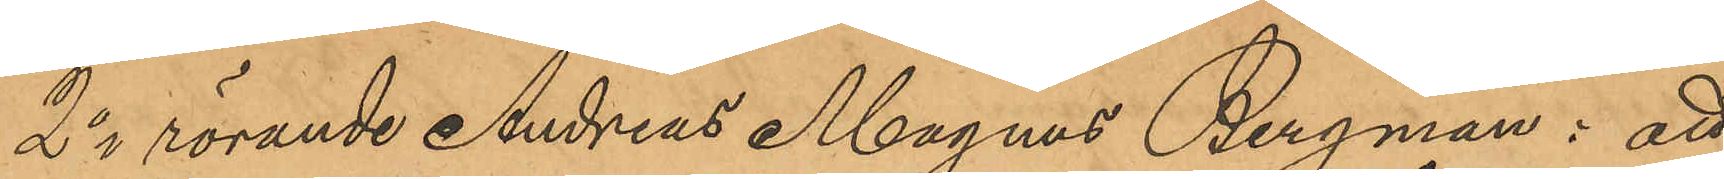2o rörande Andreas Magnus Bergman: att
